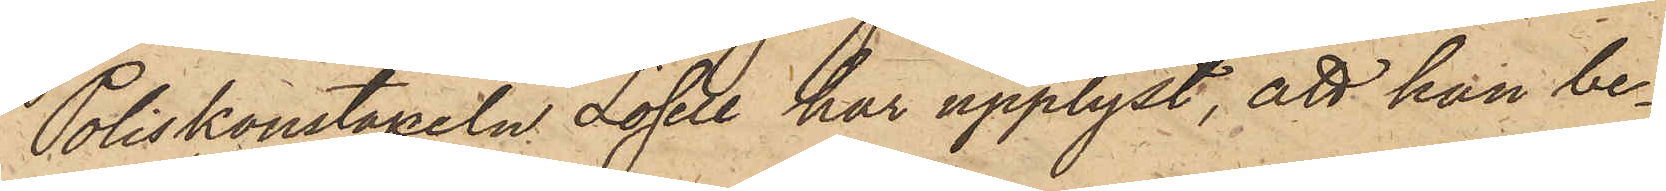Poliskonstapeln Losell har upplyst, att han be¬
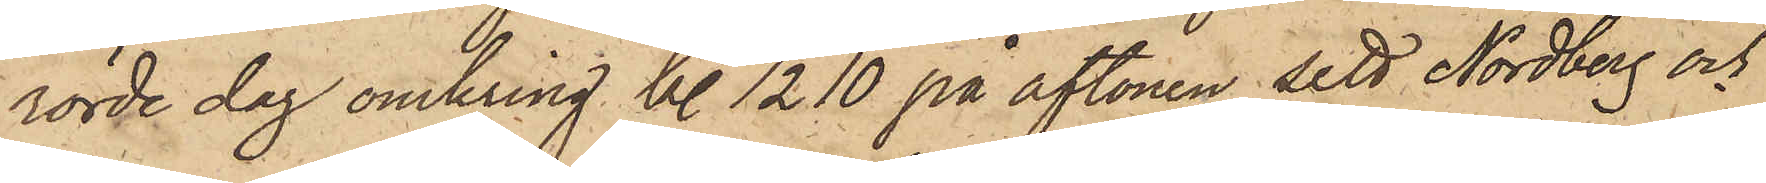rörde dag omkring kl. ½10 på aftonen sett Nordberg och
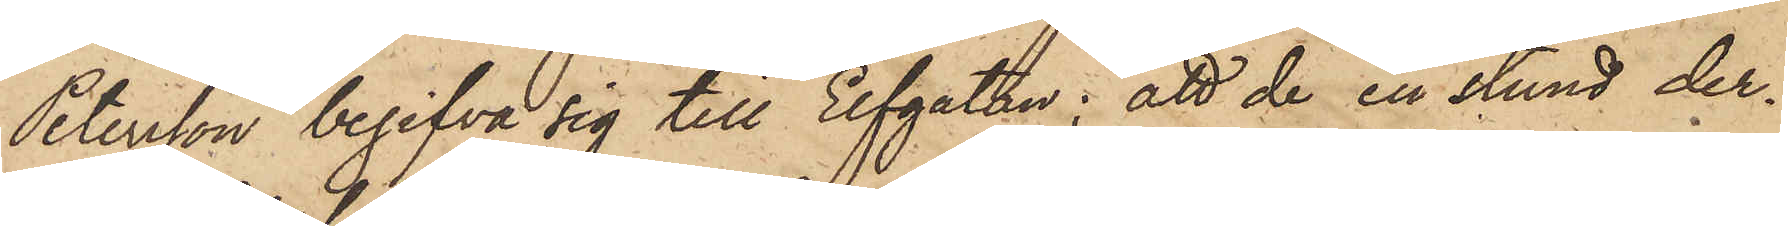Petersson begifva sig till Elfgatan; att de en stund der¬
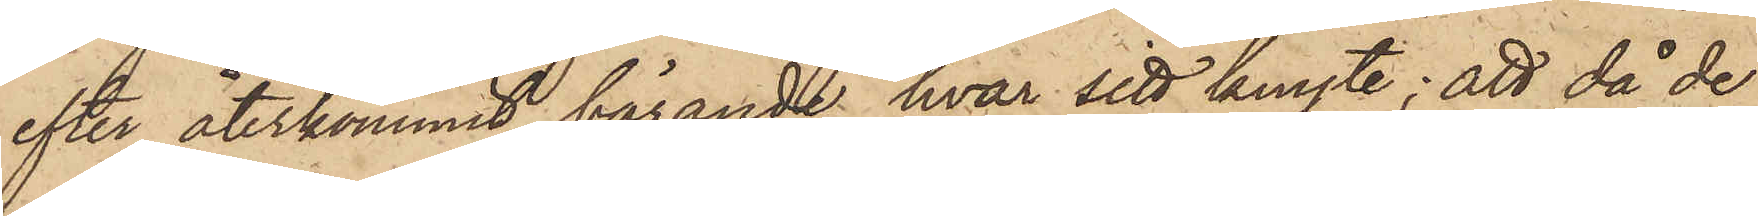efter återkommit bärande hvar sitt knyte; att då de
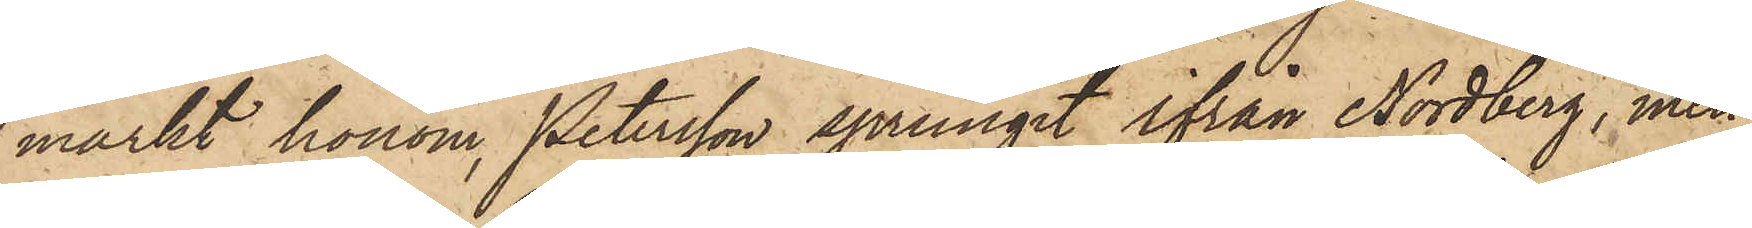märkt honom, Petersson sprungit ifrån Nordberg, men
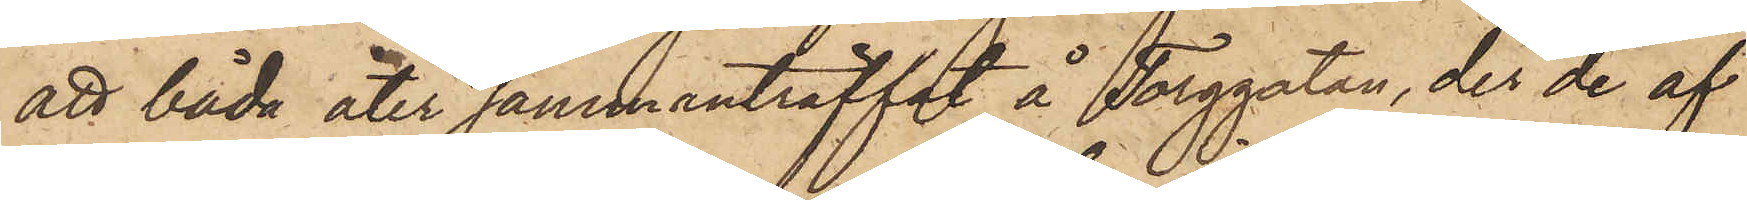att båda åter sammanträffat å Torggatan, der de af
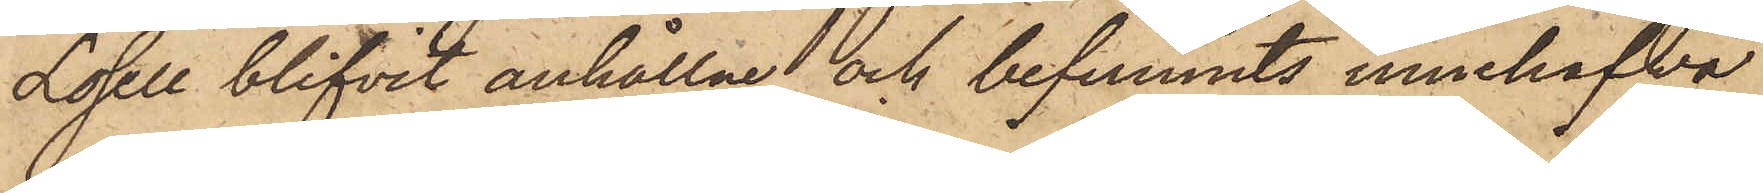Losell blifvit anhållne och befunnits innehafva
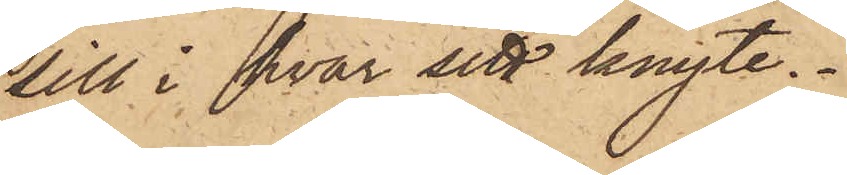sill i hvar sitt knyte.
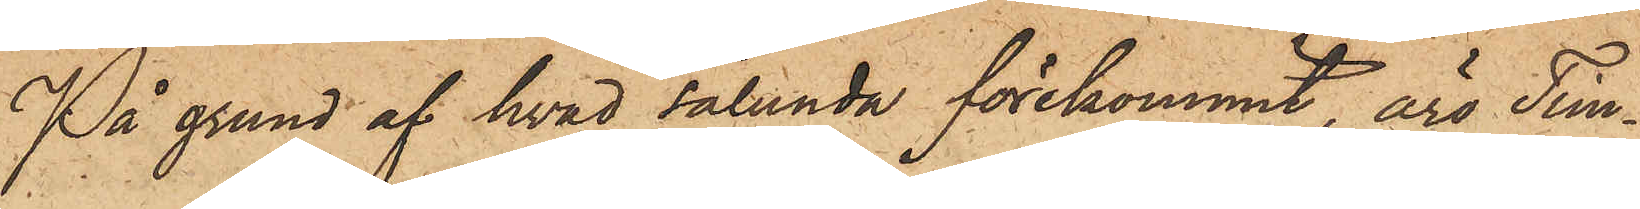På grund af hvad sålunda förekommit, äro Tim¬
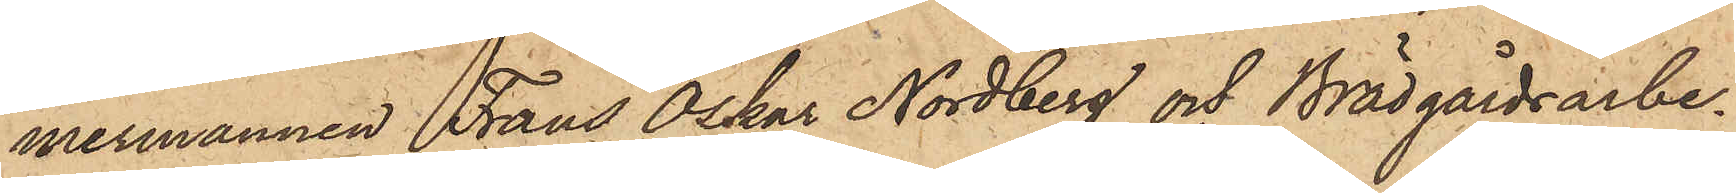mermannen Frans Oskar Nordberg och Brädgårdsarbe¬
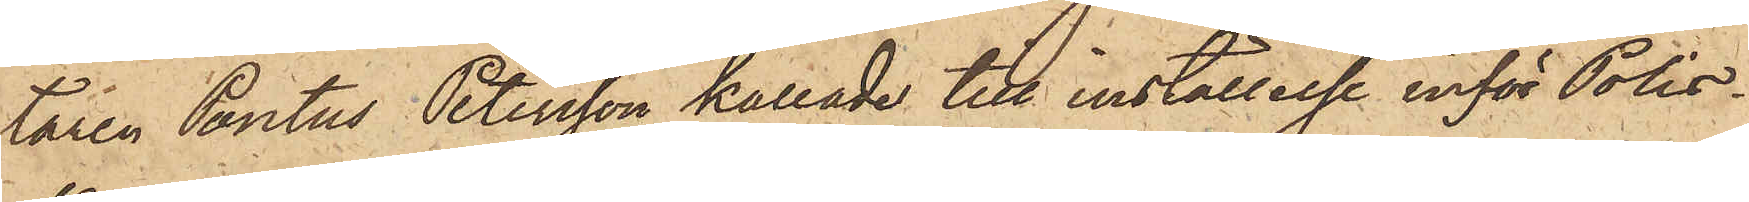taren Pontus Petersson kallade till inställelse inför Polis¬
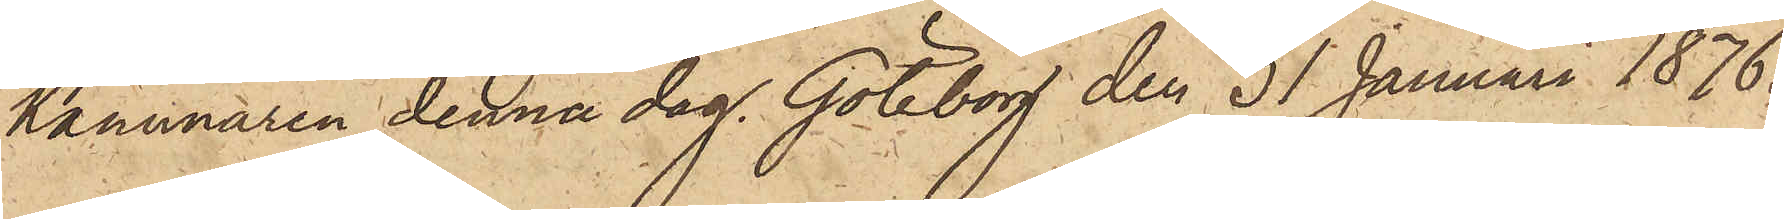kammaren denna dag. Göteborg den 31 Januari 1876.
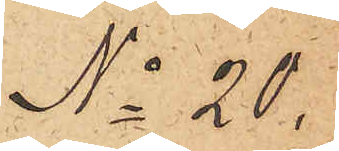No 20.
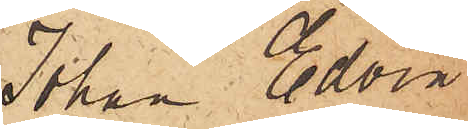Johan Edvin
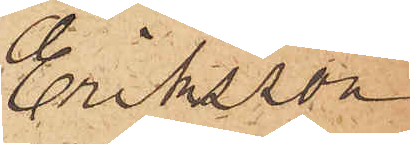Eriksson
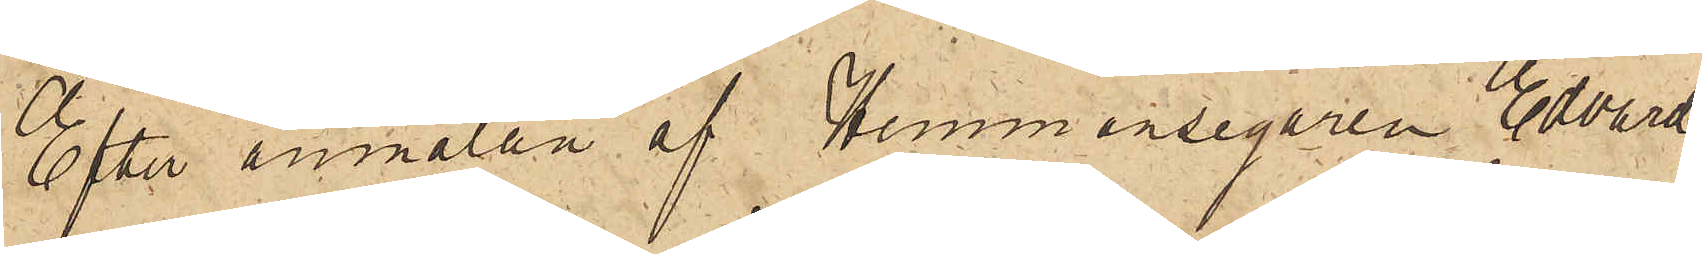Efter anmälan af Hemmansegaren Edvard
